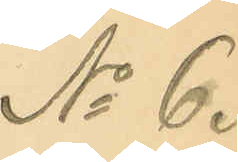No 6.
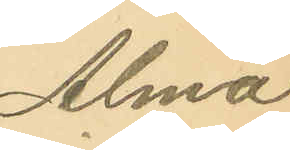Alma
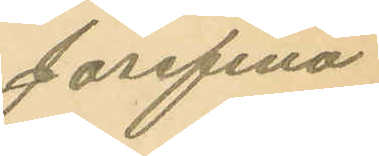Josefina
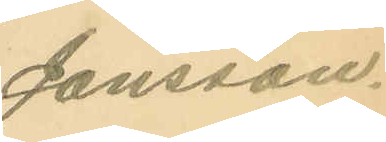Jansson.
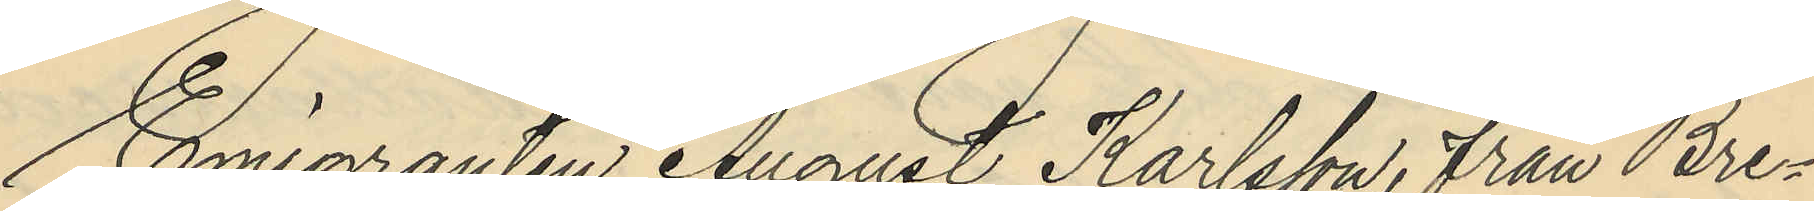Emigranten August Karlsson, Från Bre¬
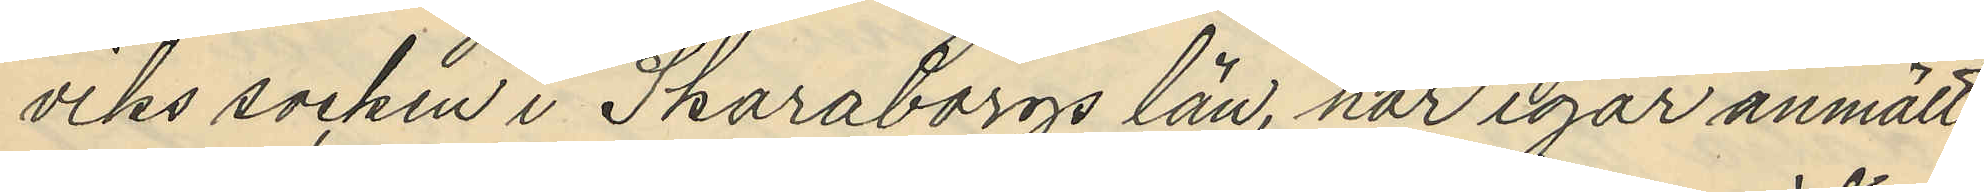viks socken i Skaraborgs län, har igår anmält
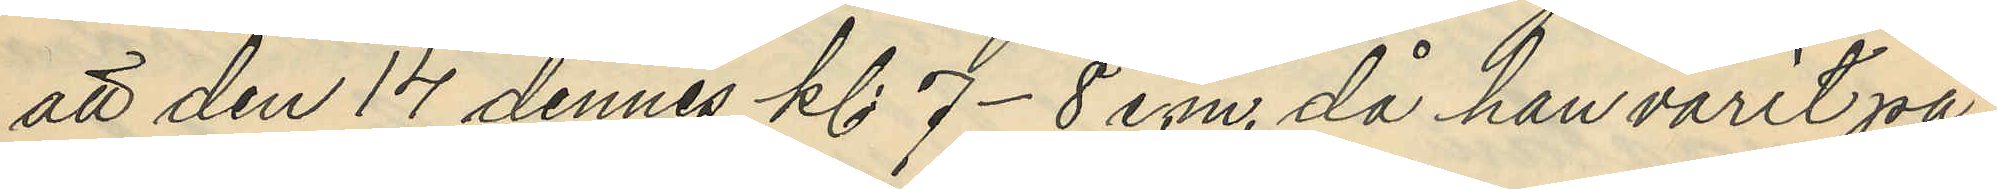att den 14 dennes kl 7-8 e.m. då han varit på
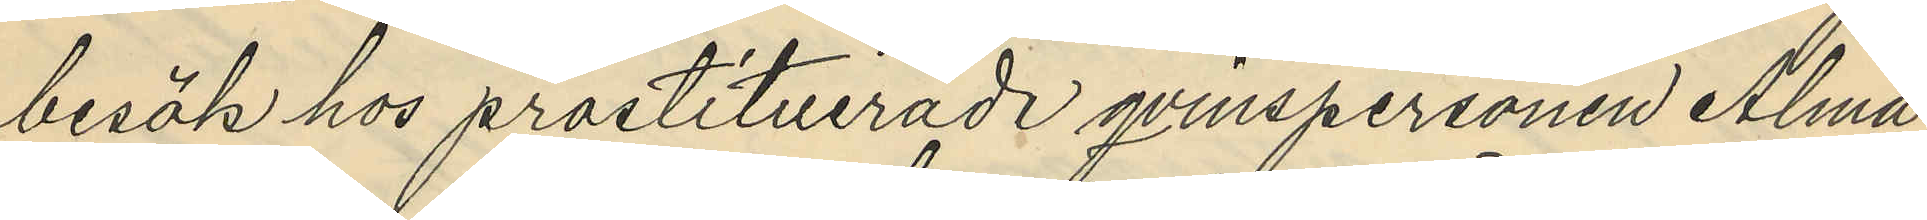besök hos prostituerade qvinspersonen Alma
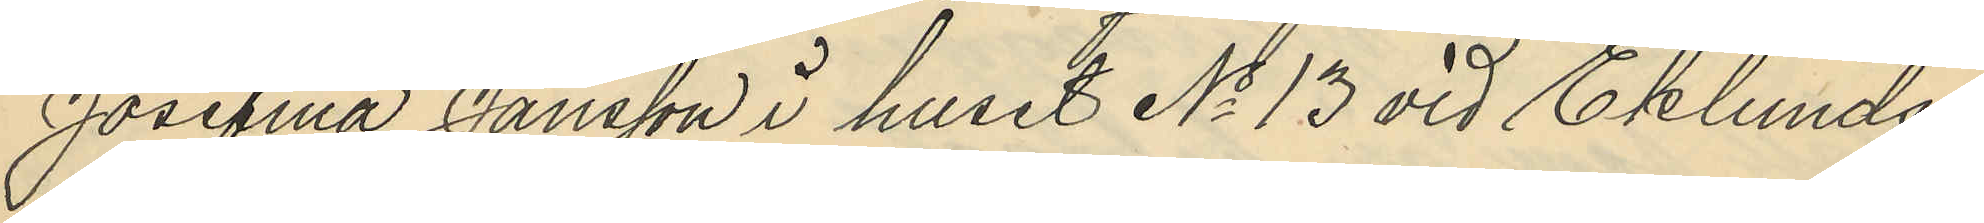Josefina Jansson i huset No 13 vid Eklunds¬
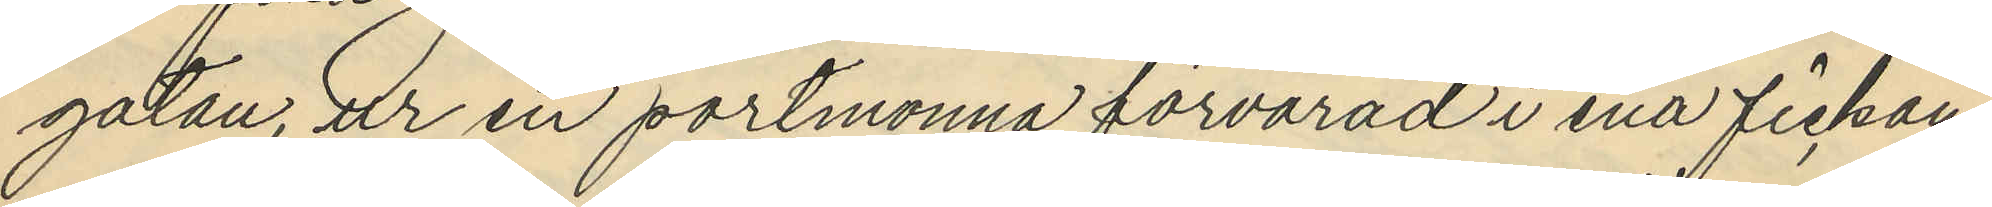gatan, ur en portmonna förvarad i ena fickan
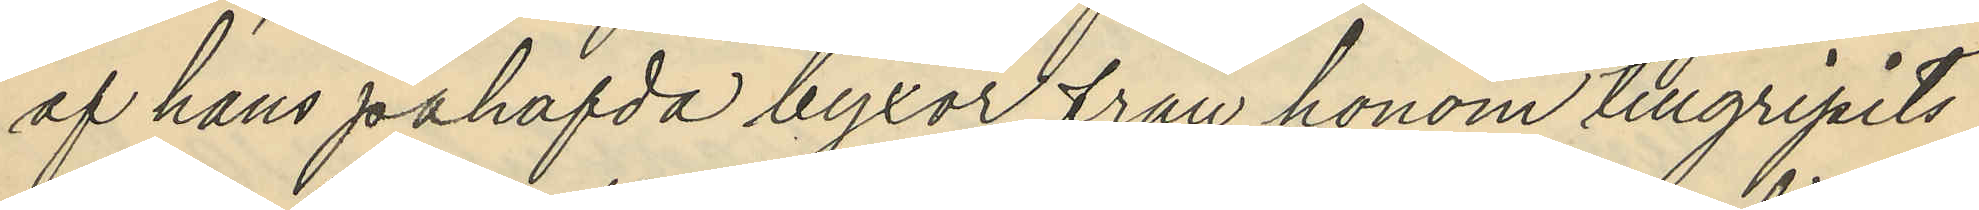af hans påhafda byxor från honom tillgripits
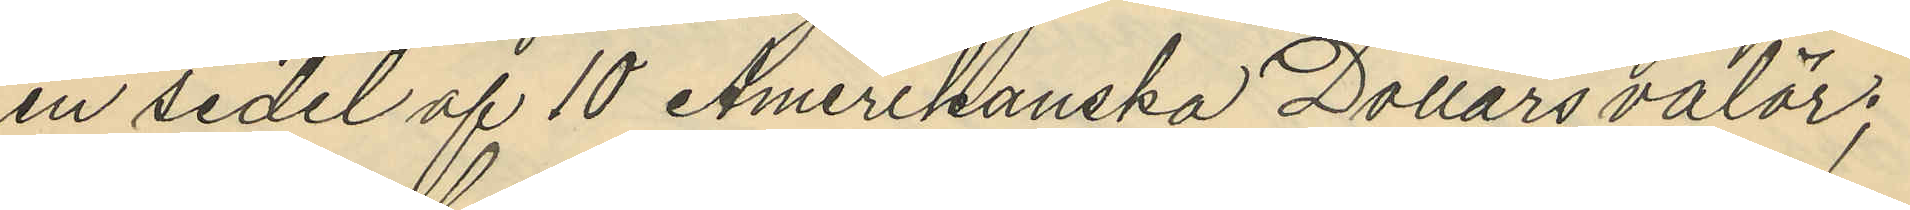en sedel af 10 Amerikanska Dollars valör;
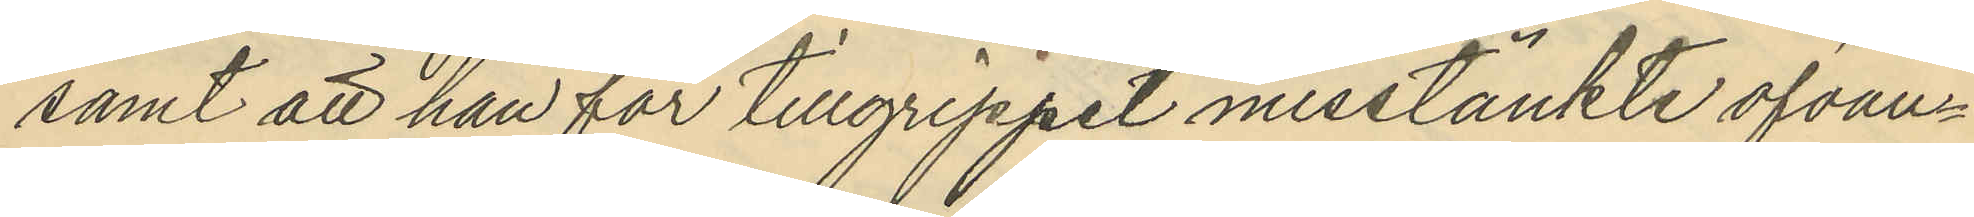samt att han för tillgreppet misstänkte ofvan¬
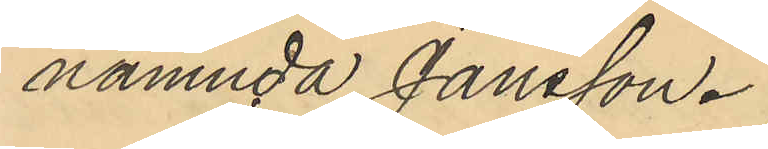nämnda Jansson.
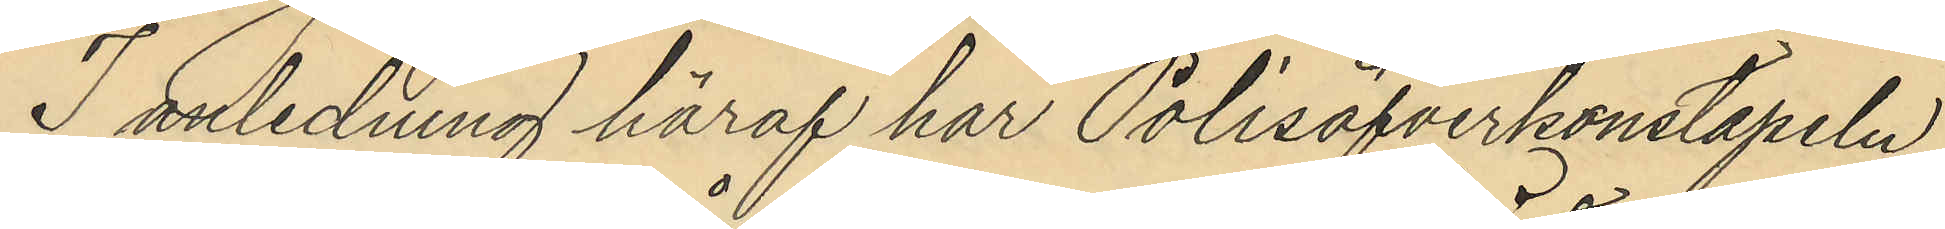I anledning häraf har Polisöfverkonstapeln
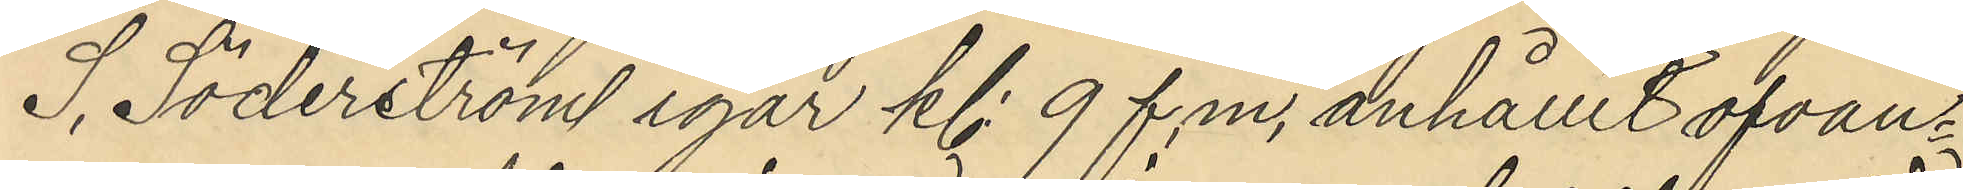S. Söderström igår kl. 9 f.m. anhållit ofvan¬
